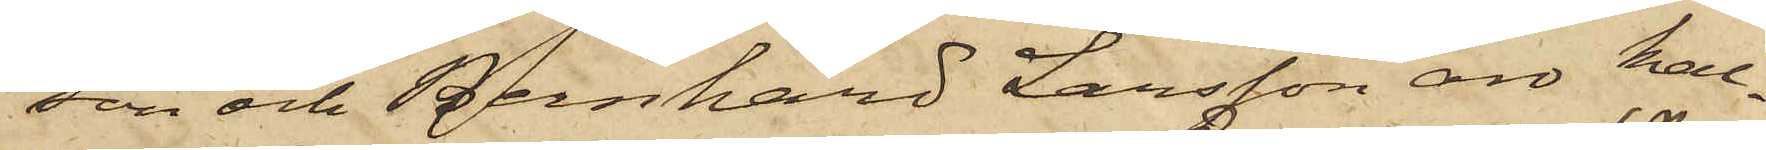son och Bernhard Larsson äro kal¬
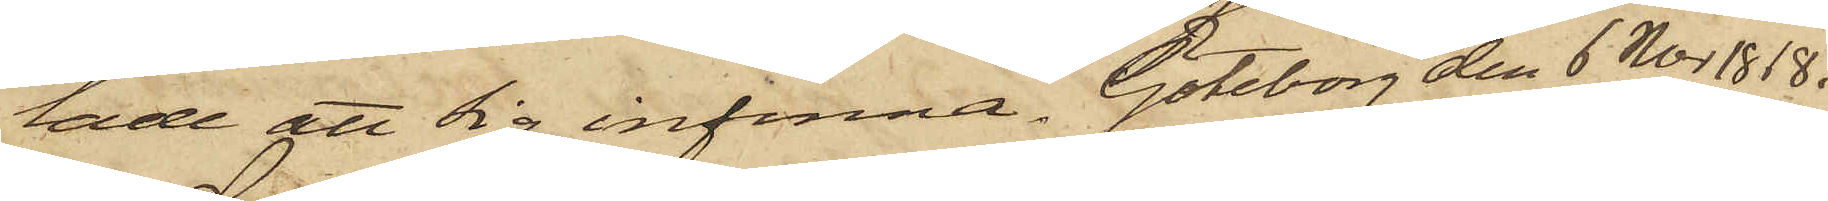lade att sig infinna. Göteborg den 6 Nov 1868.
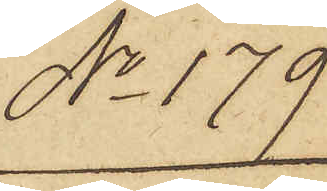No 179.
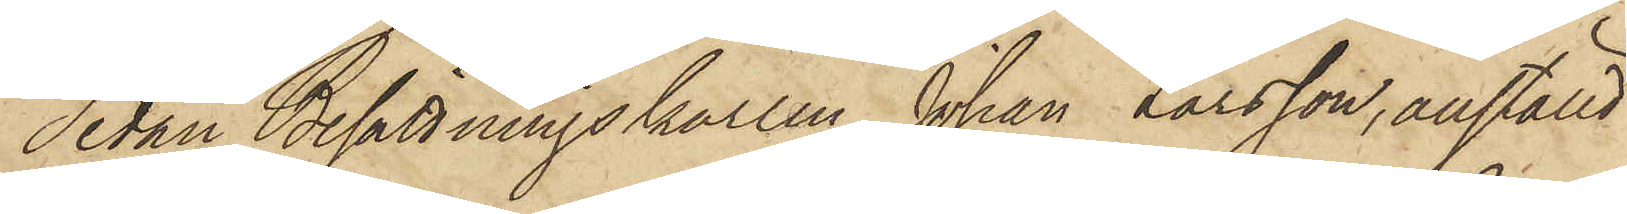Sedan Besättningskarlen Johan Larsson, anställd
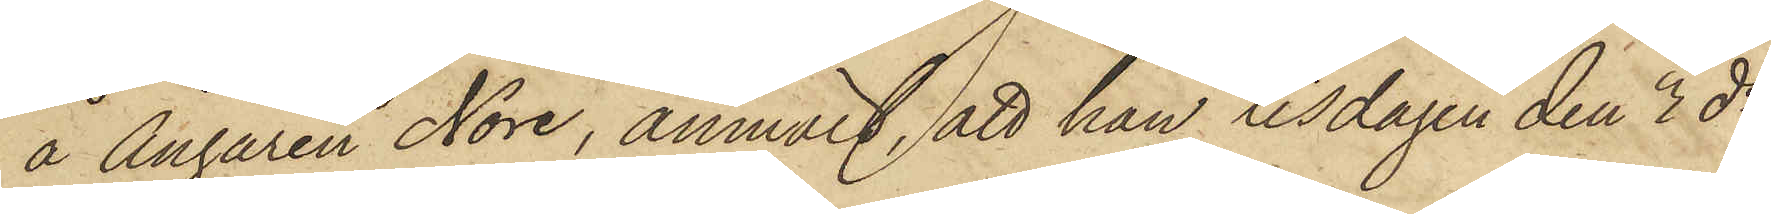å Ångaren Nore, anmält, att han tisdagen den 3 ds
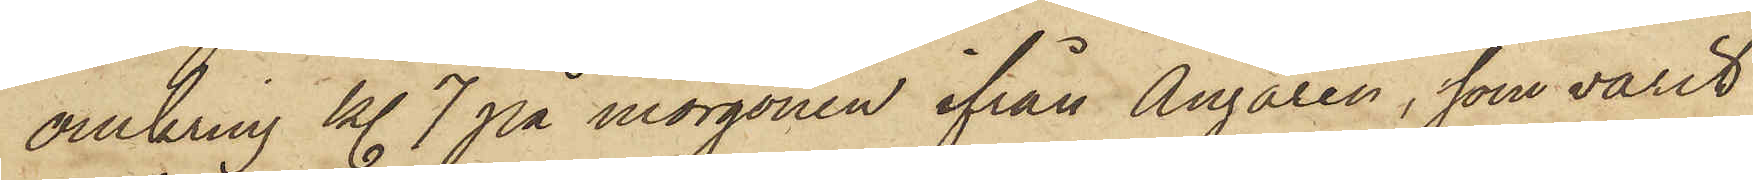omkring kl. 7 på morgonen ifrån Ångaren, som varit
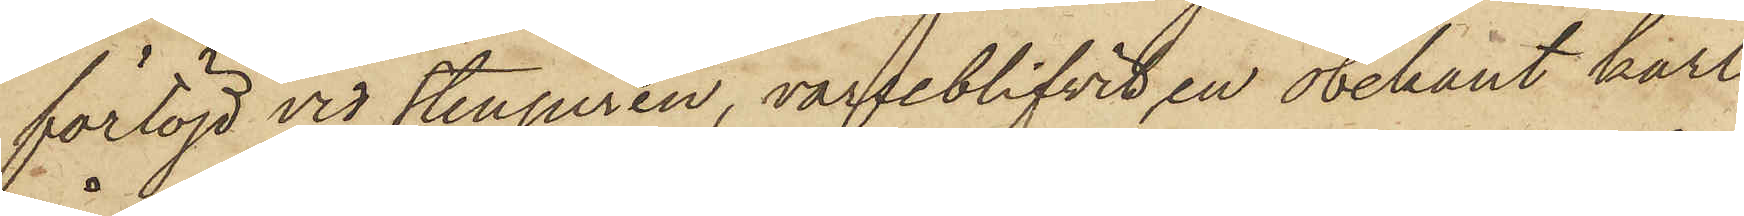förtöjd vid Stenpiren, varseblifvit en obekant karl
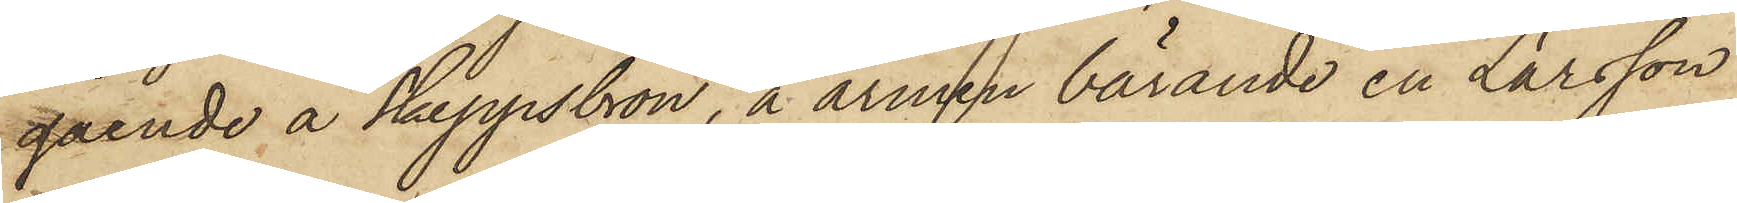gående å Skeppsbron, å armen bärande en Larsson
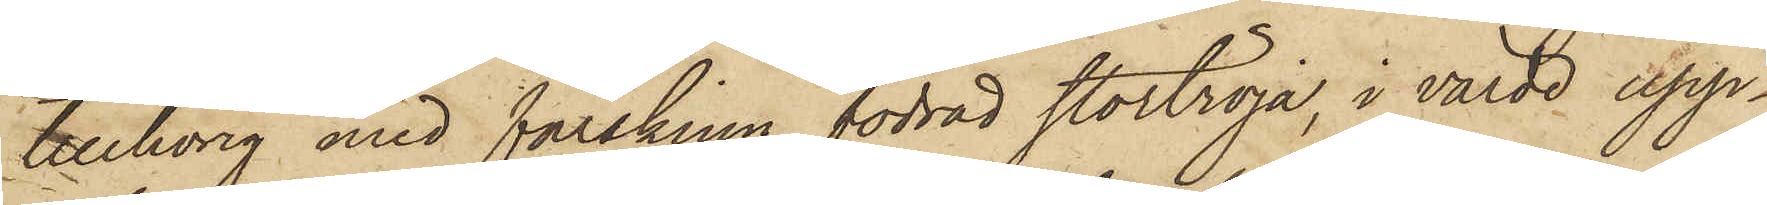tillhörig med fårskinn fodrad stortröja, i värde upp¬
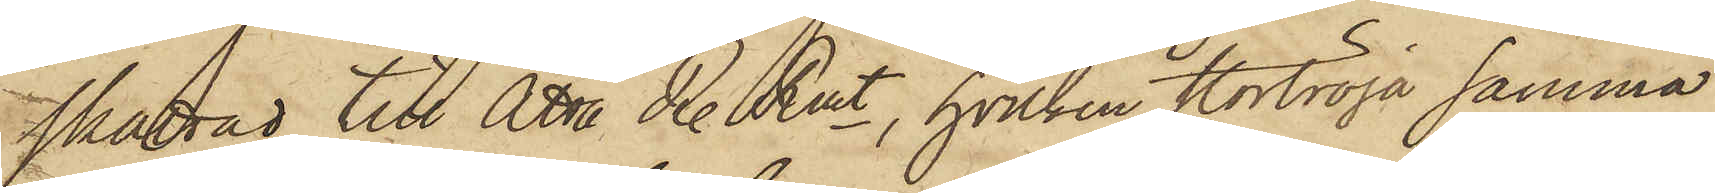skattad till Åtta R. Rmt, hvilken stortröja samma
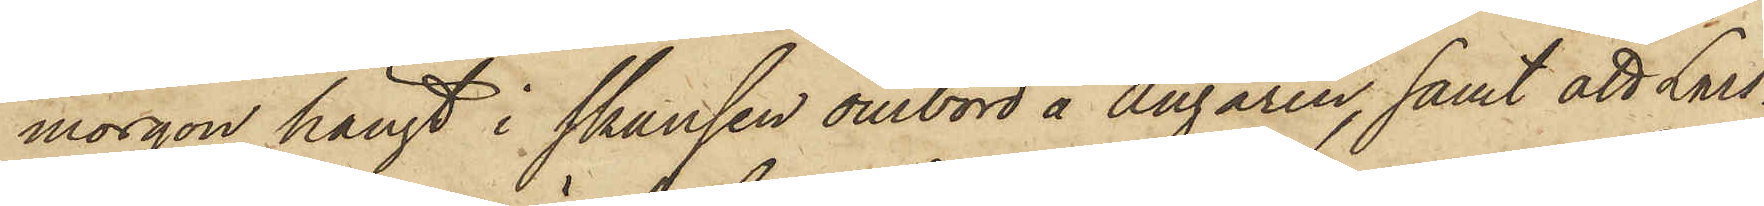morgon hängt i skansen ombord å Ångaren, samt att Lars¬
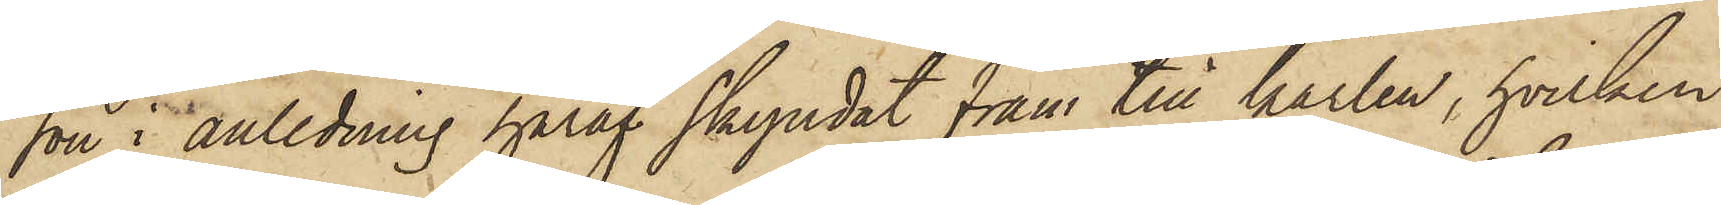son i anledning häraf skyndat fram till karlen, hvilken
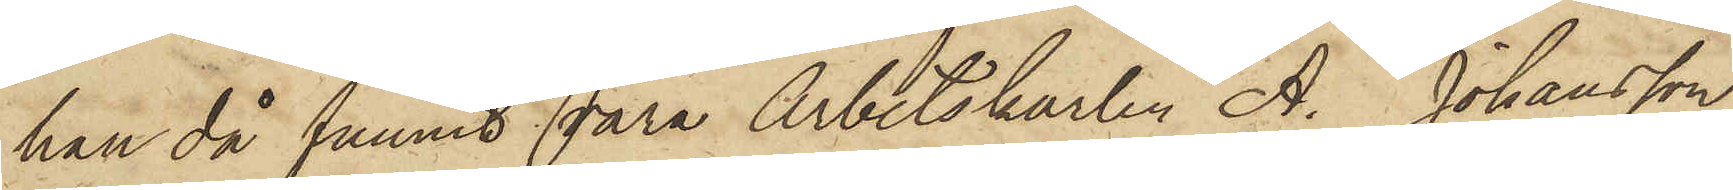han då funnit vara Arbetskarlen A. Johansson,
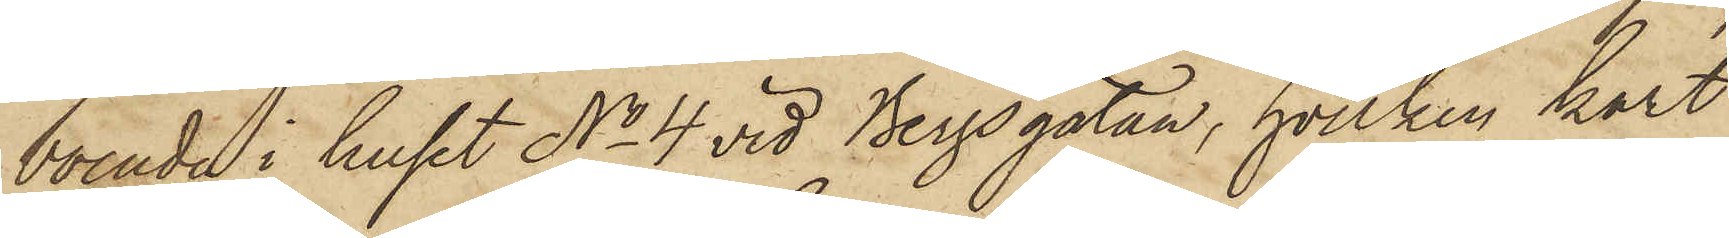boende i huset No 4 vid Bergsgatan, hvilken kort
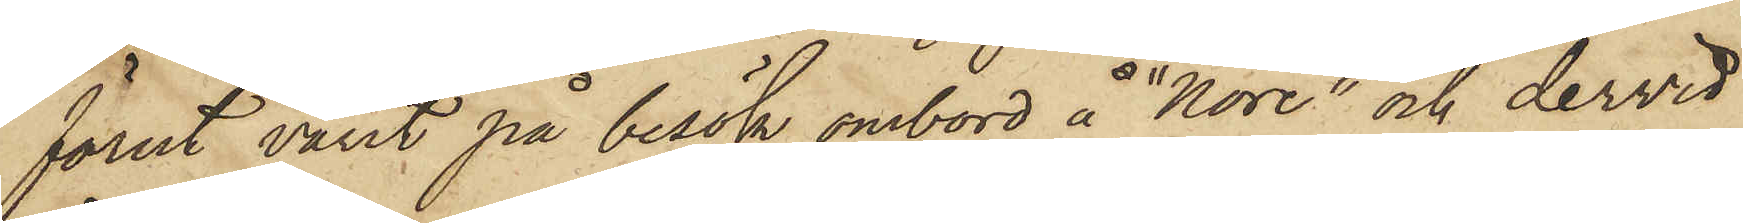förut varit på besök ombord å "Nore"; och dervid
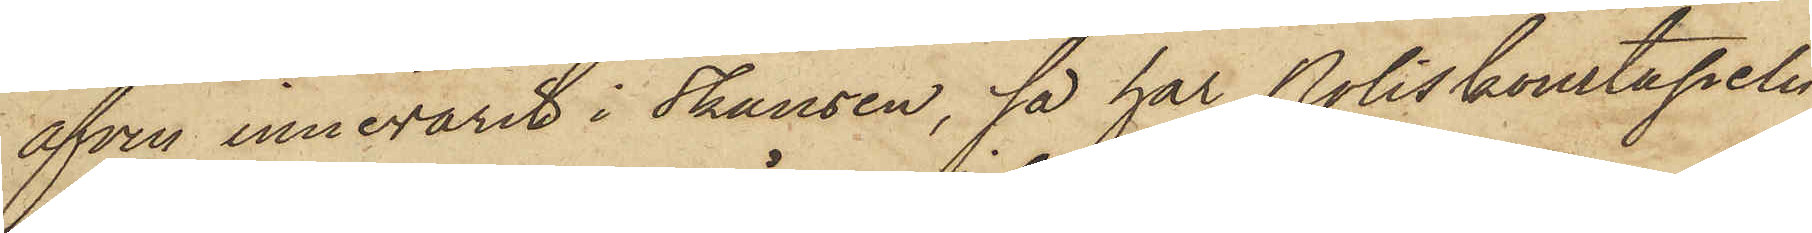äfven innevarit i Skansen, så har Poliskonstapeln
